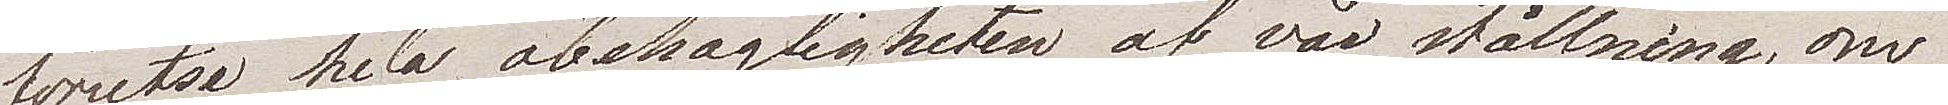förutse hela obehagligheten af vår ställning, om
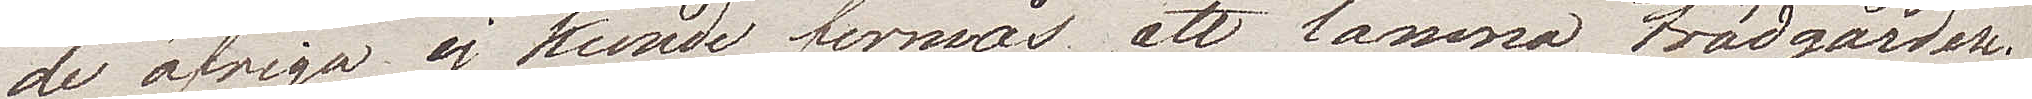de öfriga ej kunde förmås att lämna trädgården.
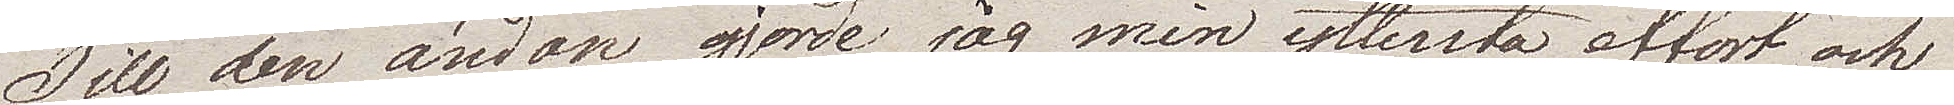Till den ändan gjorde jag min yttersta effort och
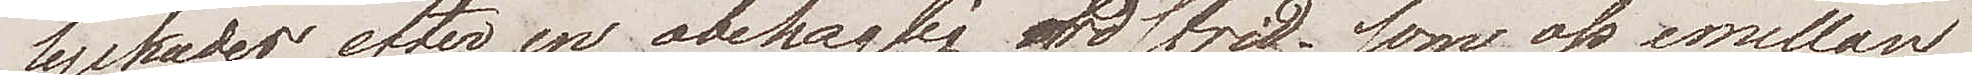lyckades efter en obehaglig ordstrid, som oss emellan
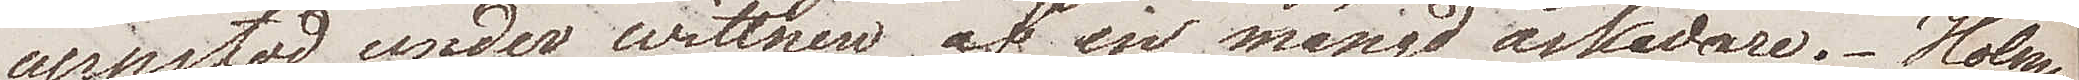uppstod, under wittnen af en mängd åskådare. Holm
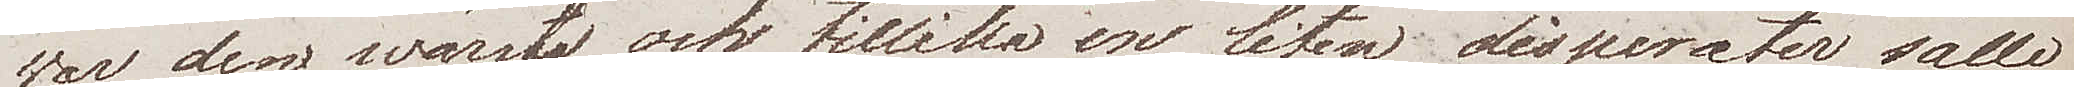war den wärste och tillika en liten disparater sälle
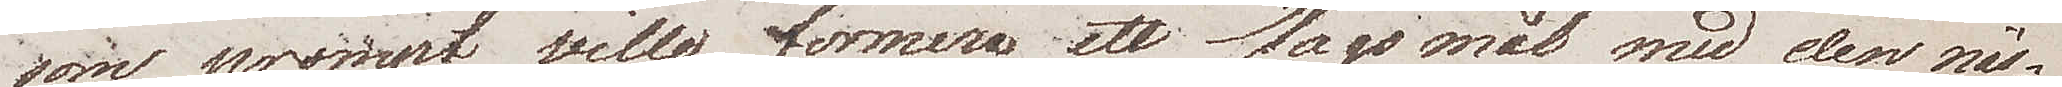som prompt ville formera ett slagsmål med den näs¬
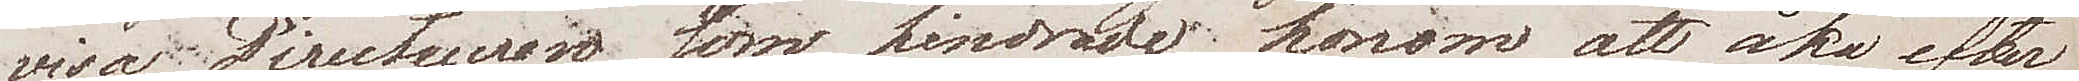visa Directeuren som hindrade honom att åka efter
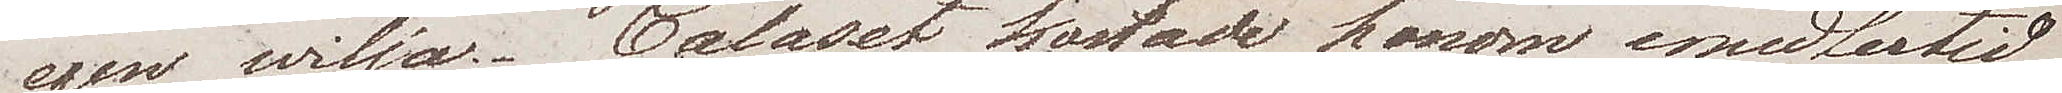egen wilja. Calaset kostade honom emellertid
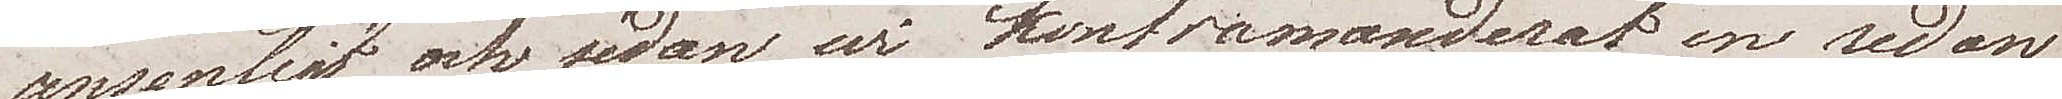ansenligt och sedan wi kontramanderat en redan
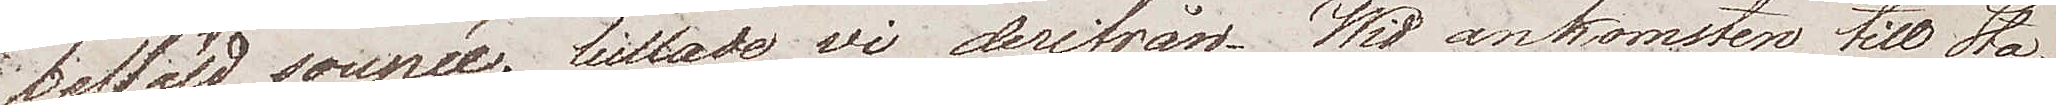beställd soupée, lullade wi derifrån. Wid ankomsten till Sta¬
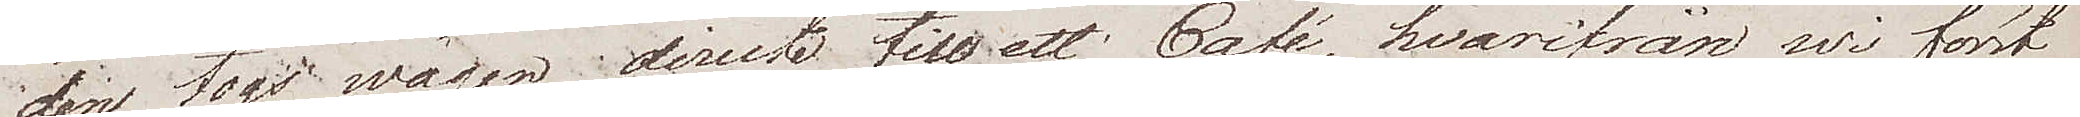den togs wägen directe till ett Café, hvarifrån wi först
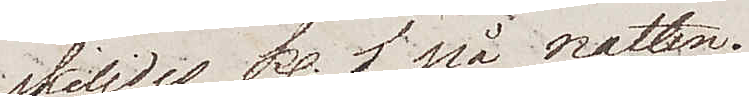skiljdes kl. 1 på natten.
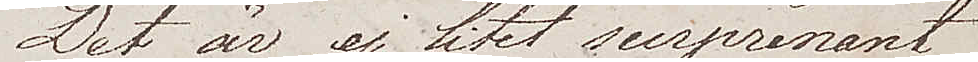Det är ej litet surprenant
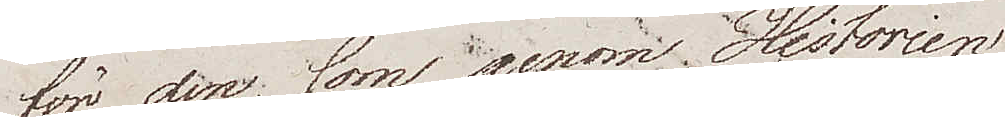för den, som  genom Historien
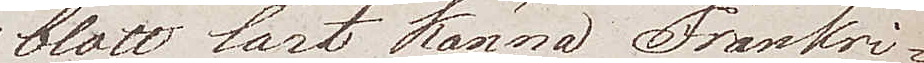blott lärt känna Frankri¬
